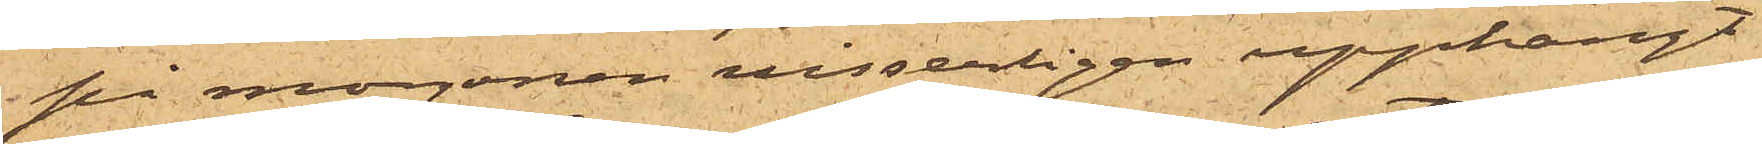på morgonen visserligen upphängt
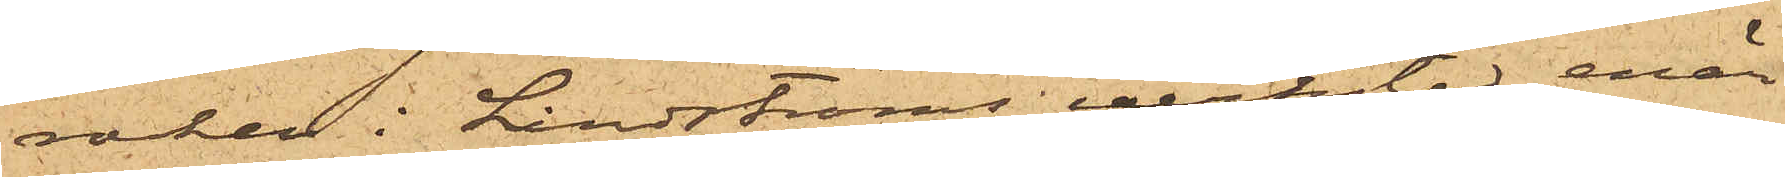rocken i Lindströms verkstad, enär
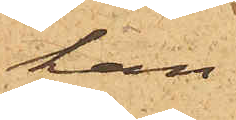han
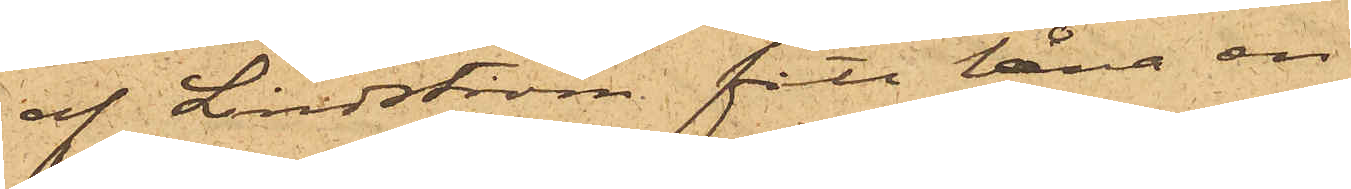af Lindström fått låna en
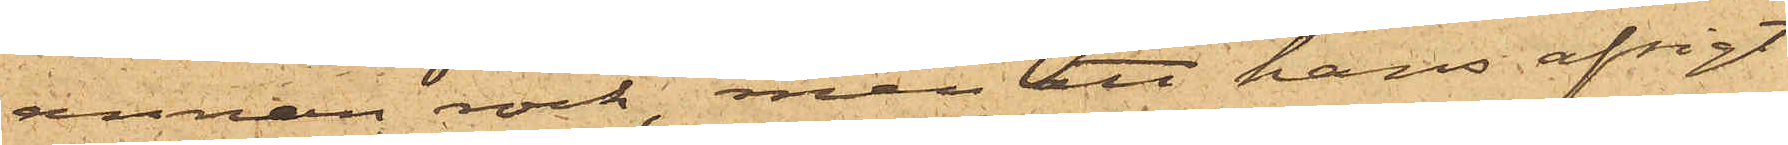annan rock, men att hans afsigt
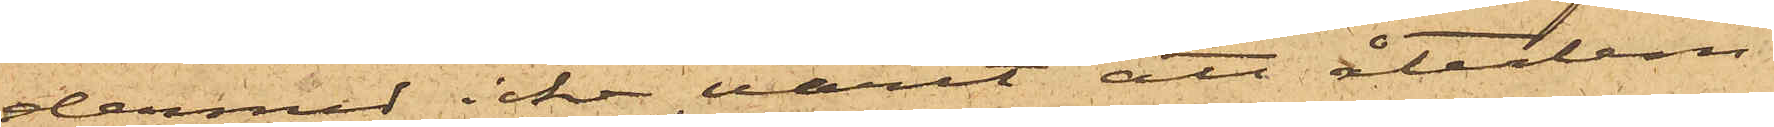dermed icke varit att återlem¬
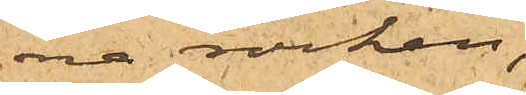na rocken
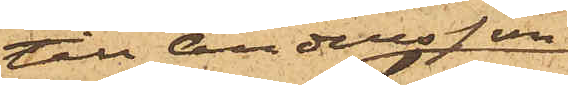till Andersson,
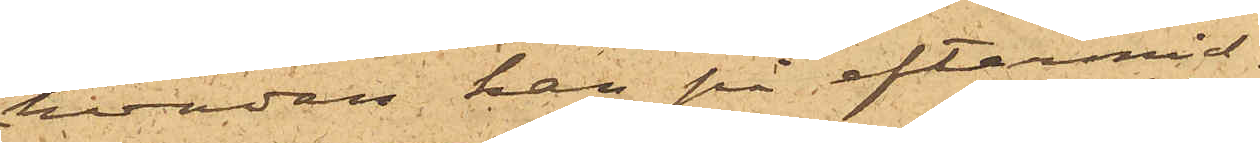hvadan han på eftermid-
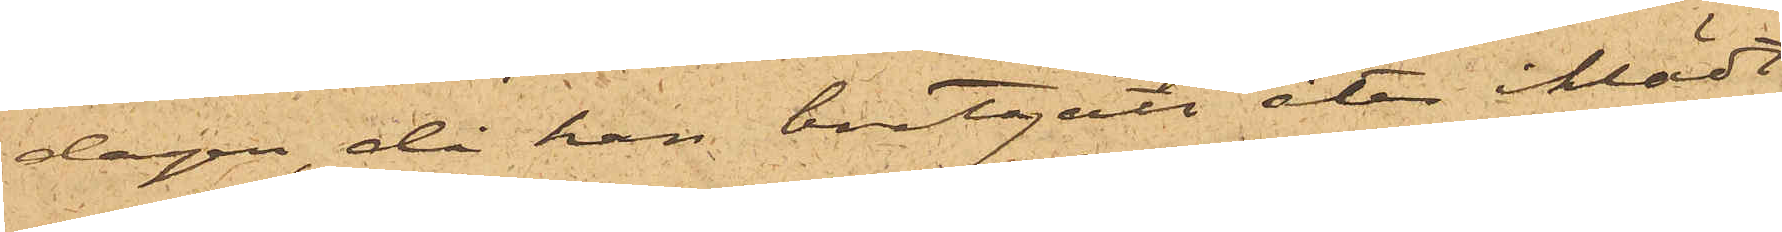dagen, då han bortgått åter iklädt
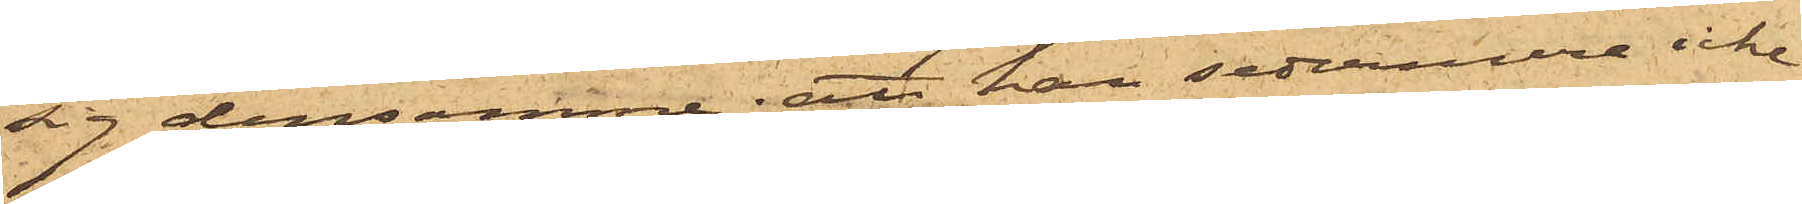sig densamme; att han sedermera icke
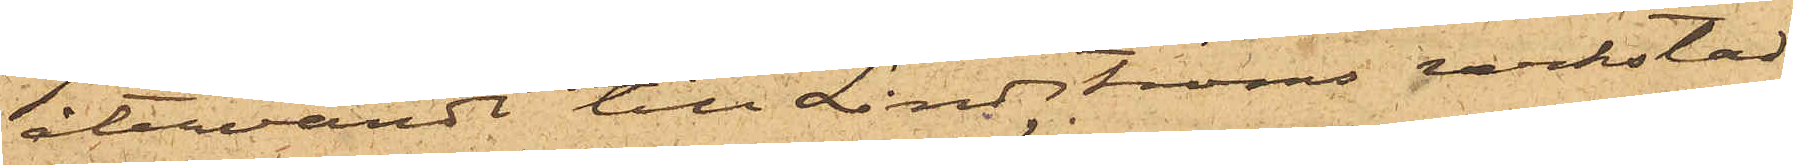återvändt till Lindströms verkstad
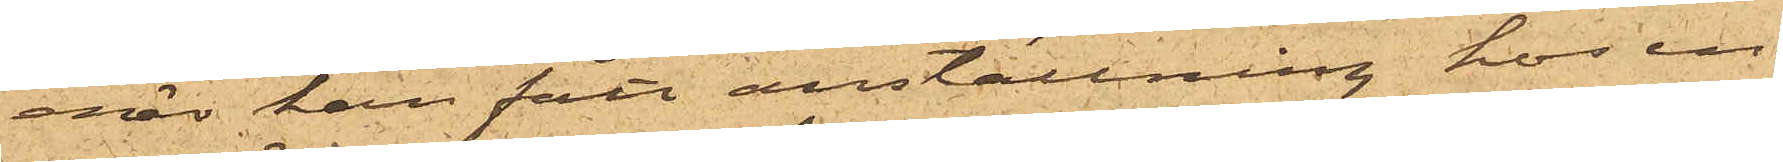enär han fått anställning hos en
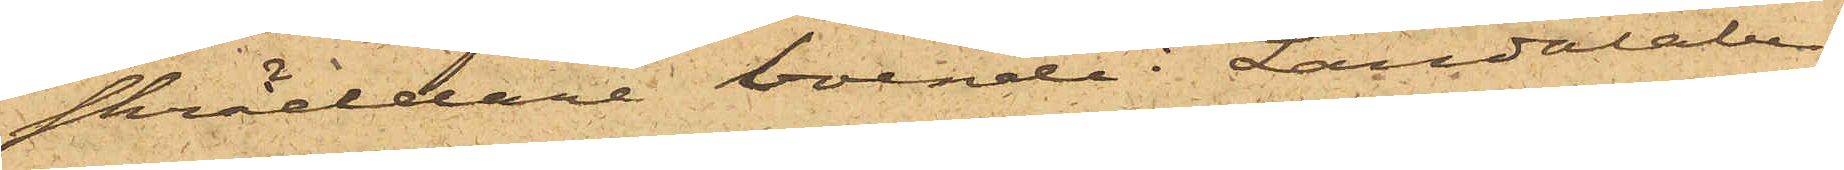skräddare boende i Landalaber¬
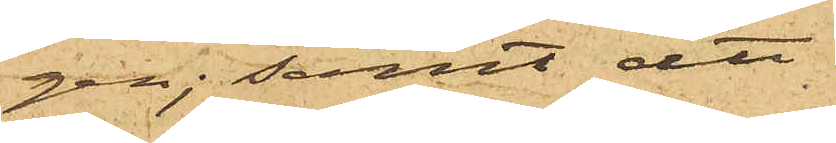gen; samt att
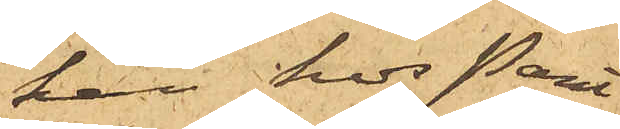han hos Pant¬
